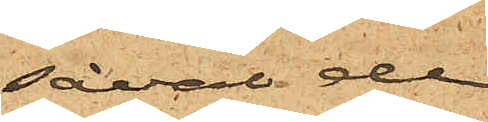såväl de
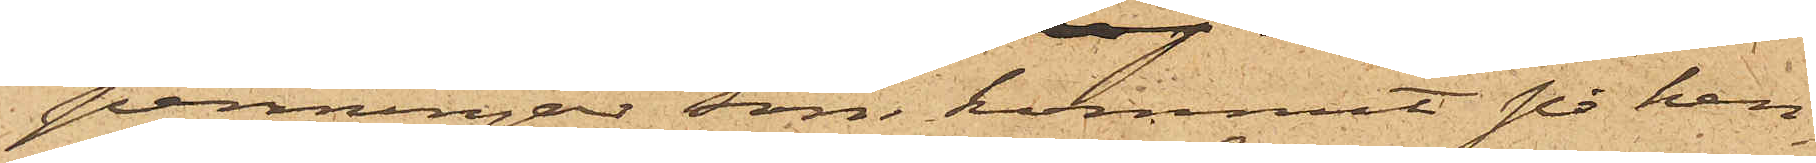penningar, som kommit på hen¬
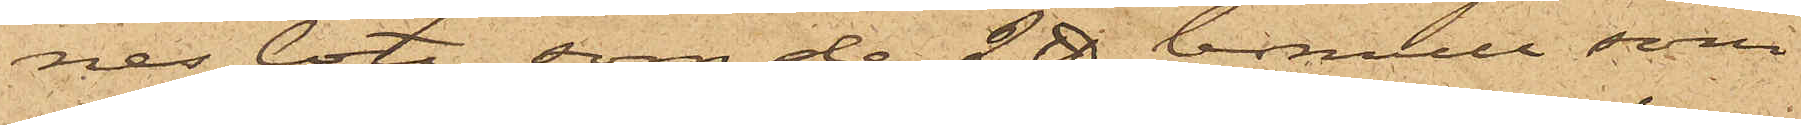nes lott, som de 2 ℔ bomull, som
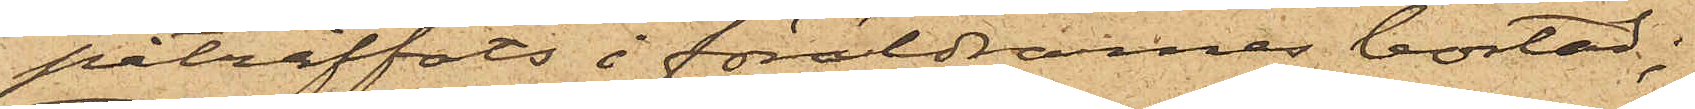påträffats i föräldrarnes bostad;
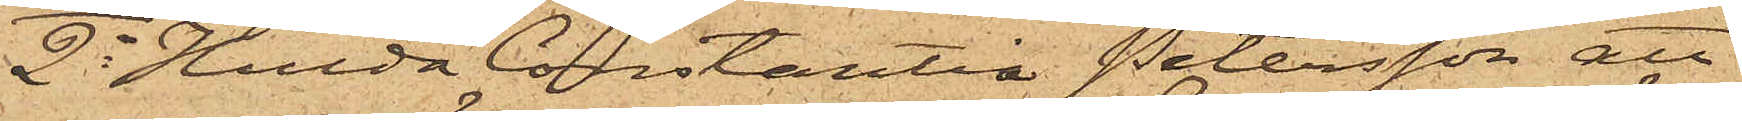2o Hulda Constantia Petersson att
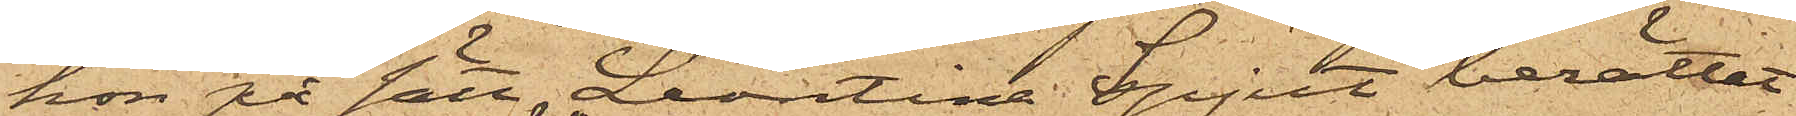hon på sätt Leontina Spjut berättat
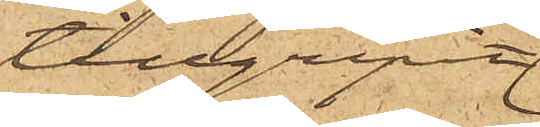tillgripit
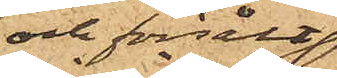och försålt
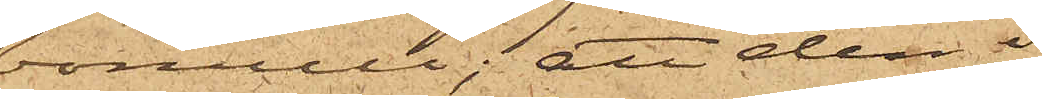bomull; att den i
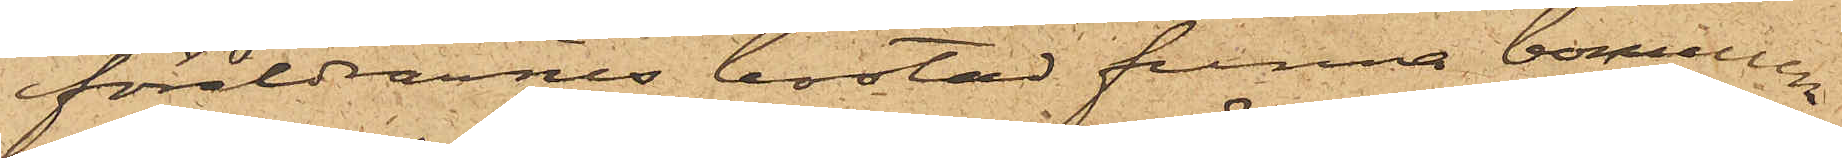föräldrarnes bostad funna bomullen
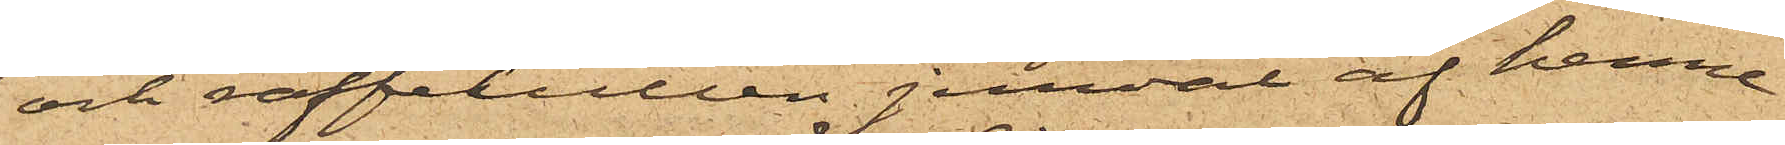och raffelullen jemväl af henne
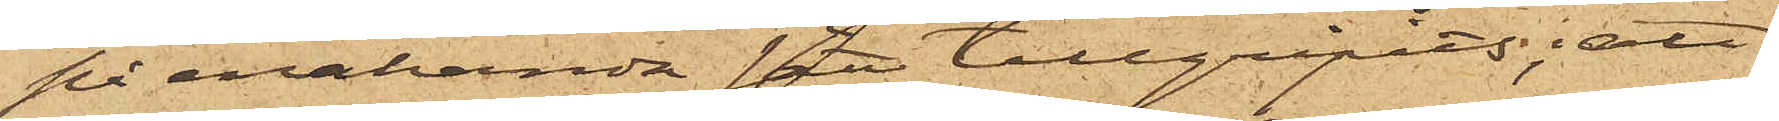på enahanda sätt tillgripits; att
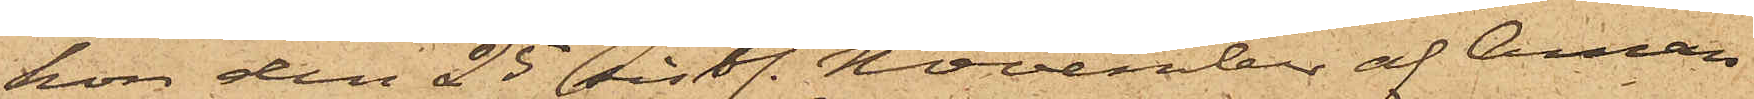hon den 25 sistl. November af Aman¬
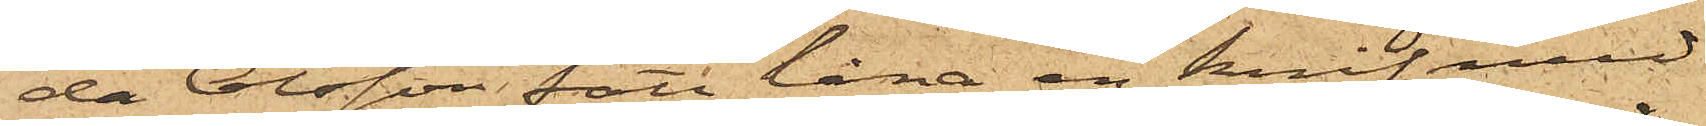da Olsson fått låna en knif, med
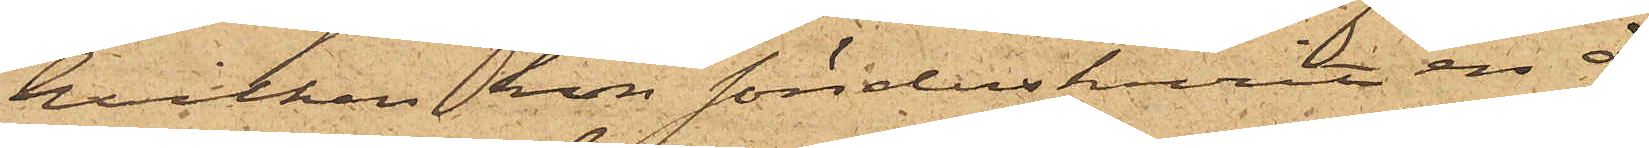hvilken hon sönderskurit en å
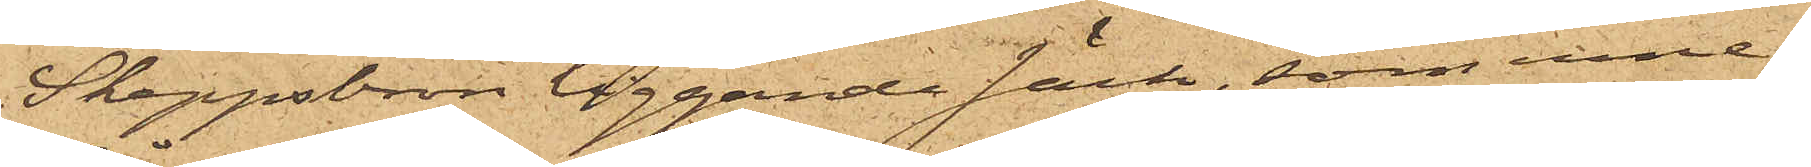Skeppsbron liggande säck, som inne¬
